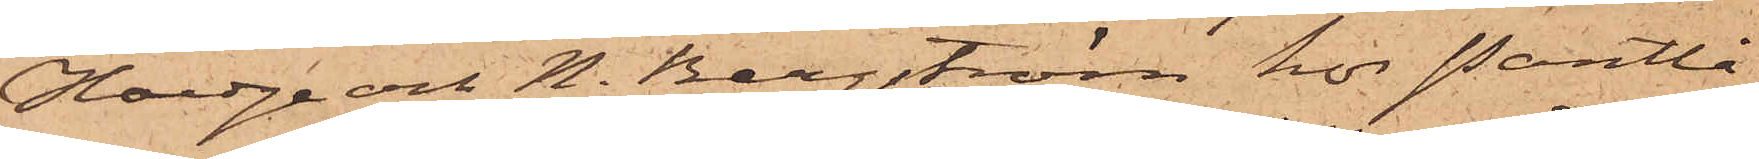Hoedge och N. Bergström hos Pantlå¬
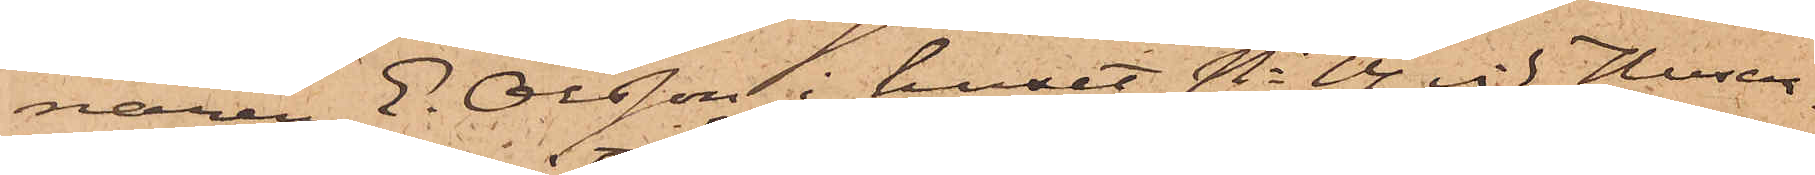naren E. Olsson i huset No 14 vid Husar¬
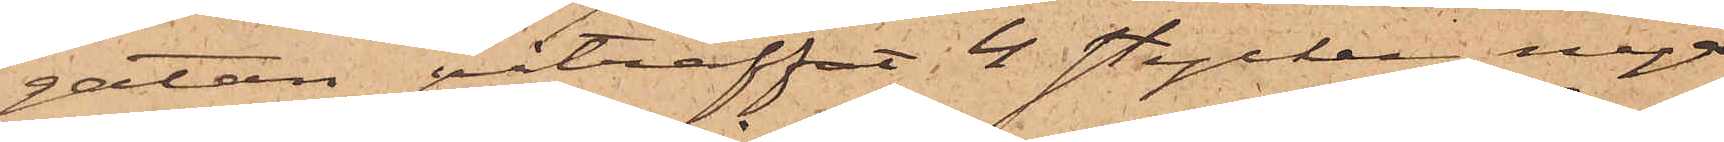gatan påträffat 4 stycken nya
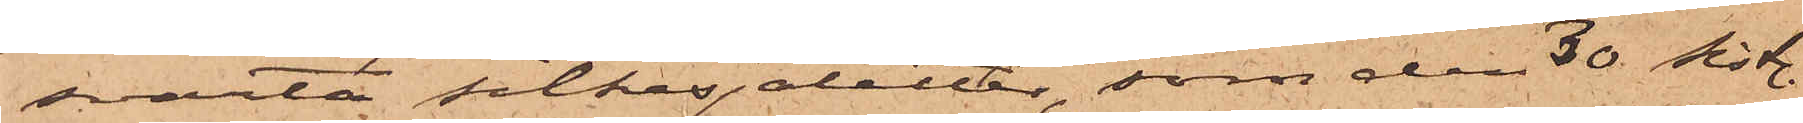svarta silkesjaletter, som den 30 sistl.
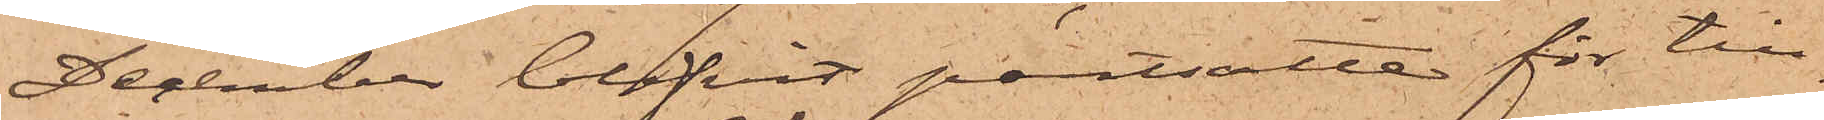December blifvit pantsatte för till¬
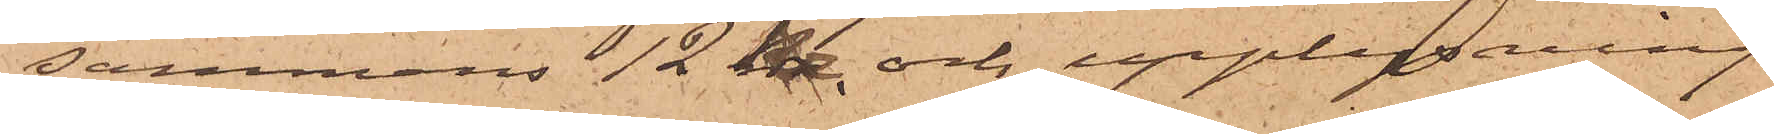sammans 12 kr. och upplysning
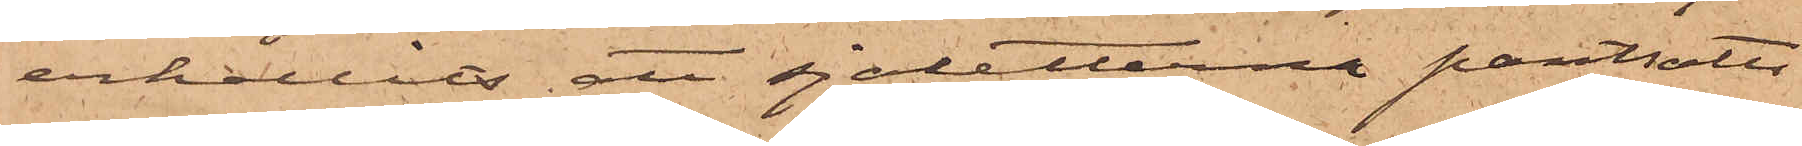erhållits, att sjaletterna pantsatts
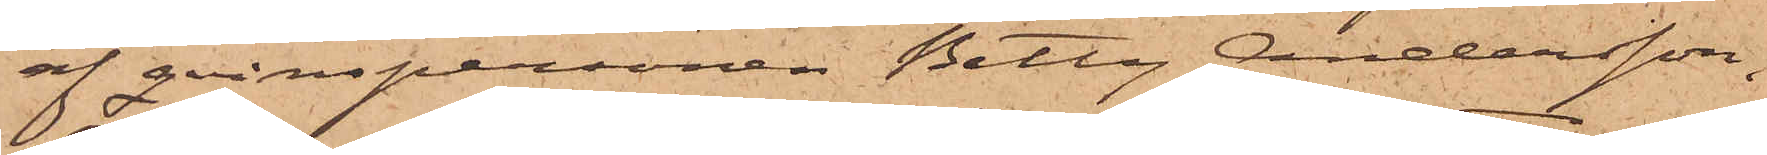af qvinspersonen Betty Andersson,
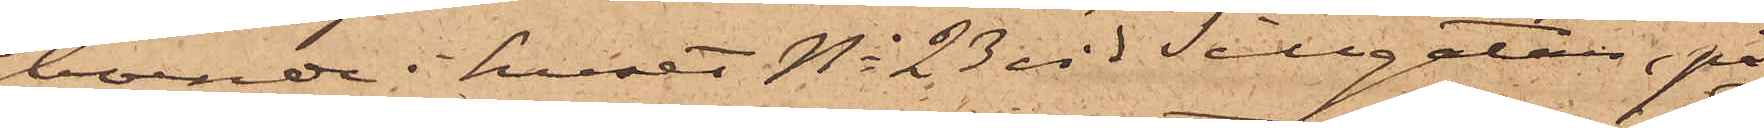boende i huset No 23 vid Sillgatan, på
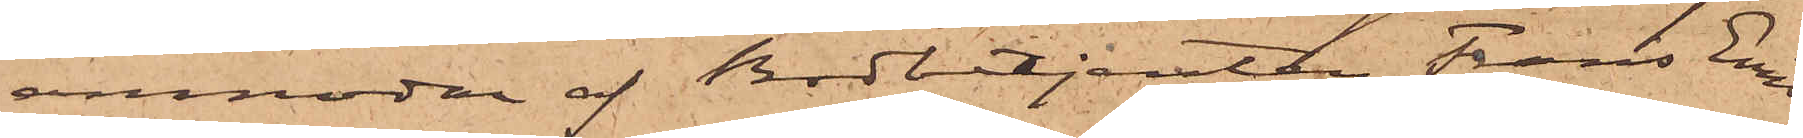anmodan af Bodbetjenten Frans Emil
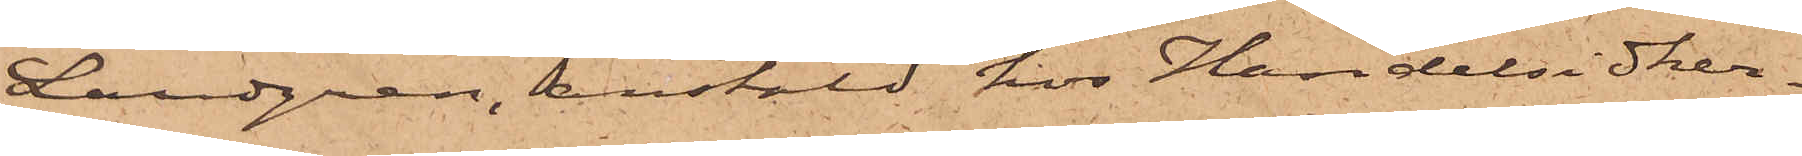Landgren, anstäld hos Handelsidker¬
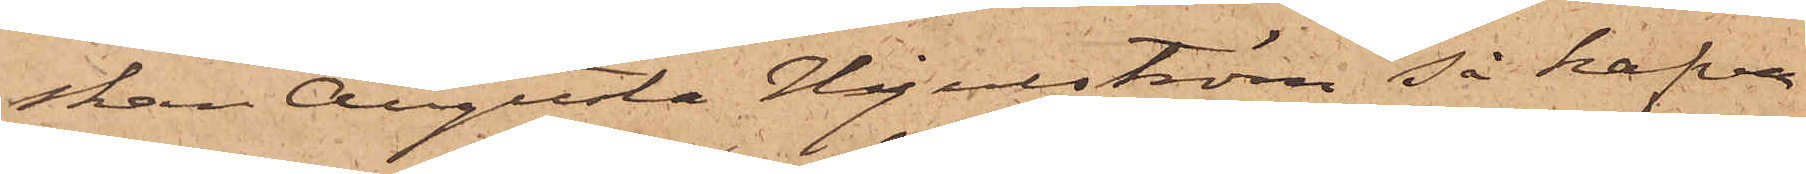skan Augusta Hjulström, så hafva
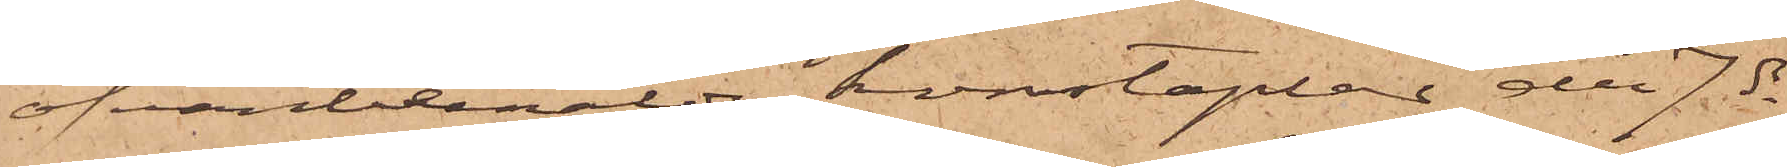ofvanbemälde konstaplar den 7 ds
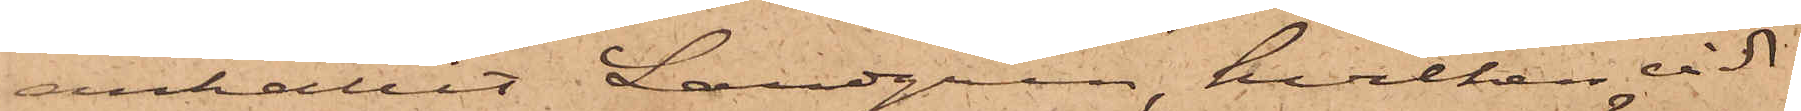anhållit Landgren, hvilken vid
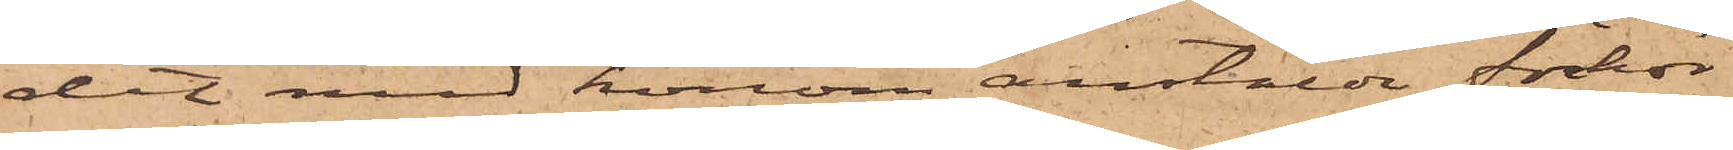det med honom anstälda förhör
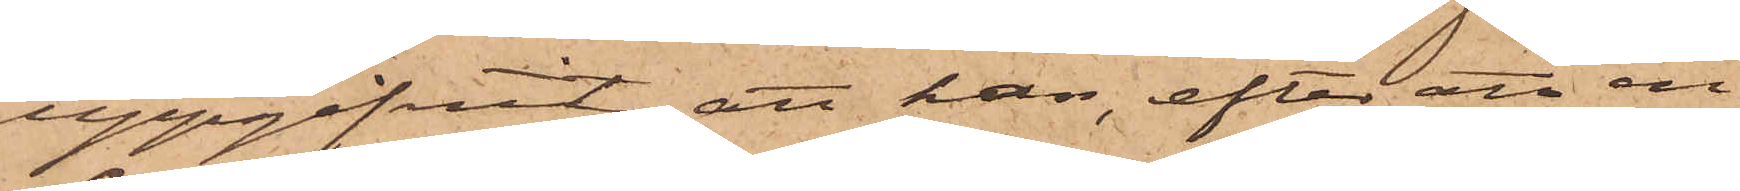uppgifvit, att han, efter att en
